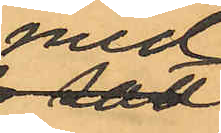med
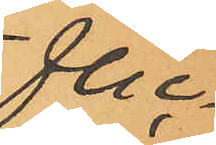flic¬
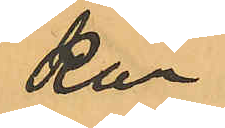kan
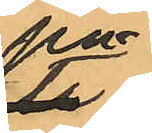på
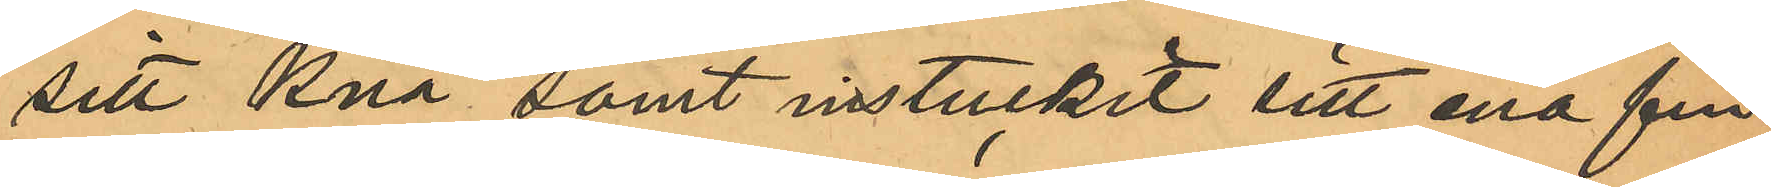sitt knä samt instuckit sitt ena fin¬
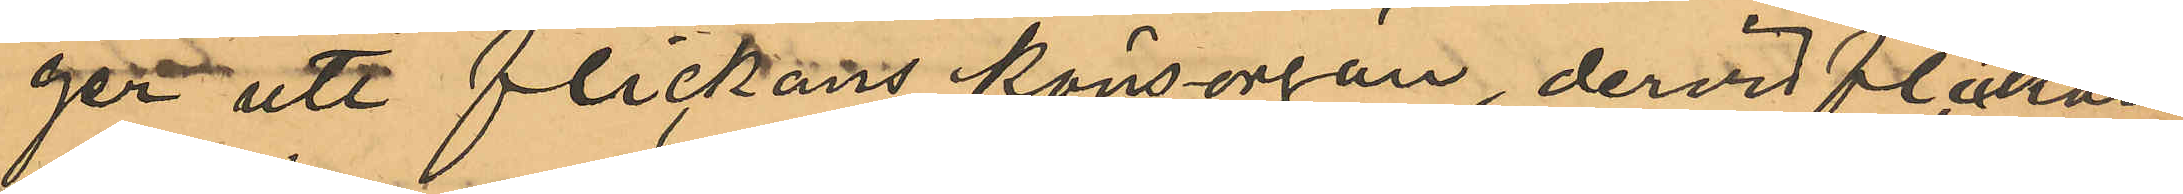ger uti flickans könsorgan, dervid flickan
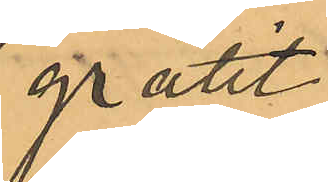gråtit;
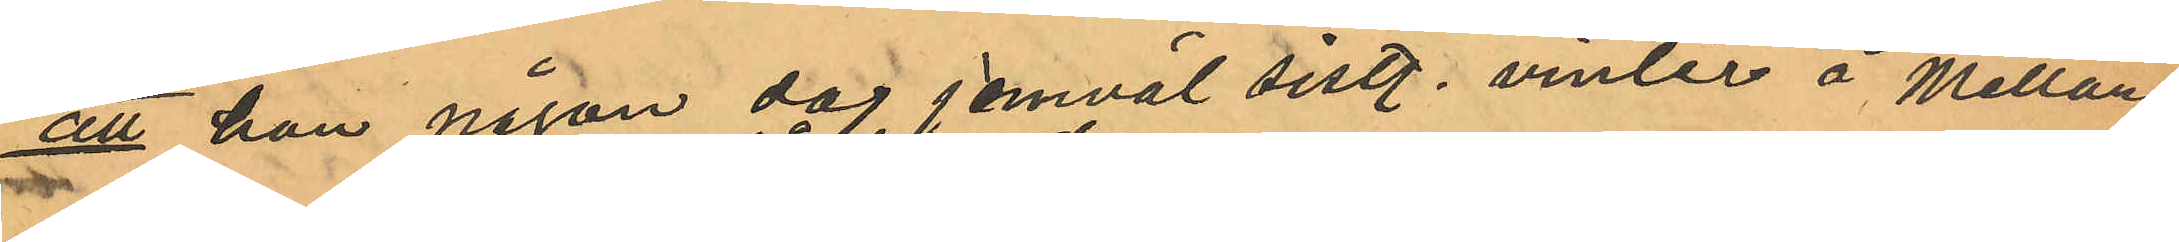att han någon dag jemväl sistl. vinter å Mellan¬
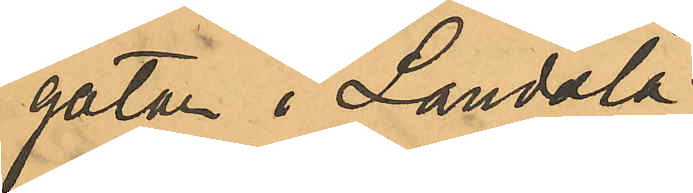gatan i Landala
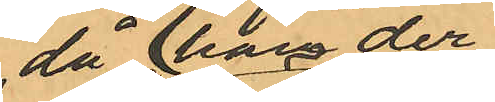då han der
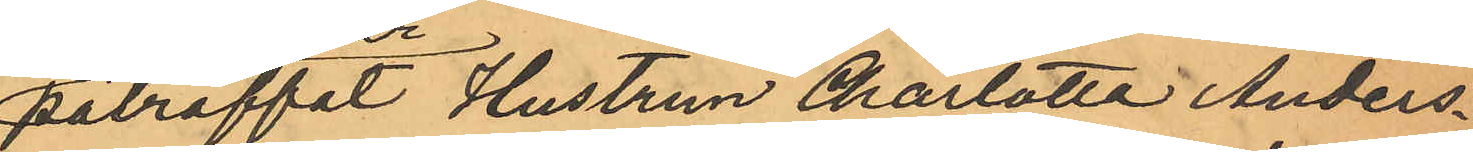påträffat Hustrun Charlotta Anders¬
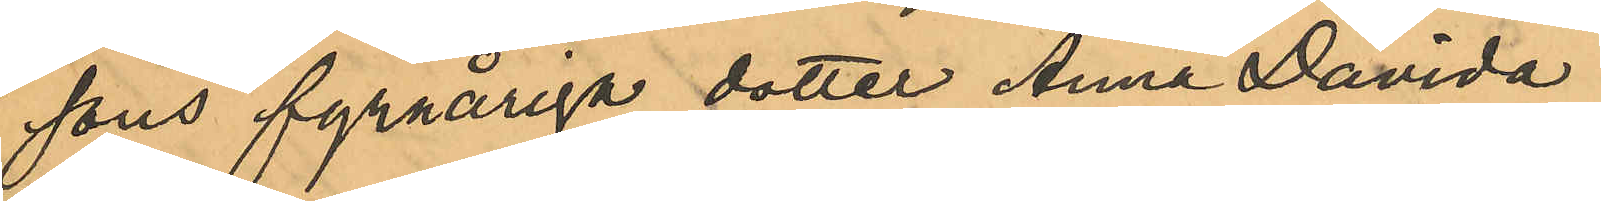sons fyraåriga dotter Anna Davida
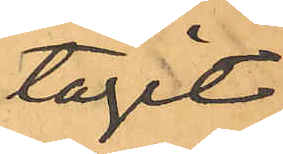tagit
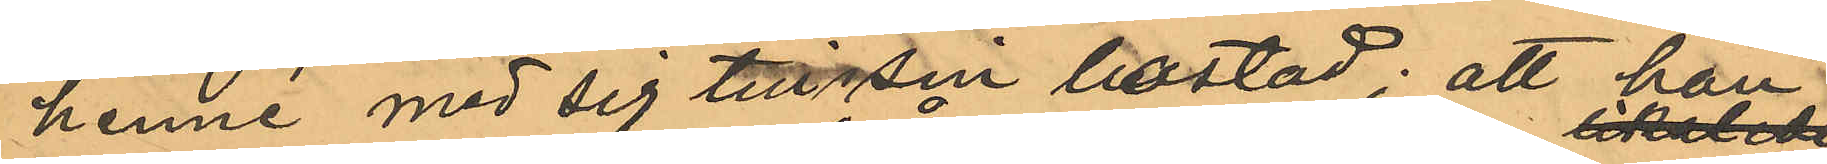henne med sig till sin bostad; att han
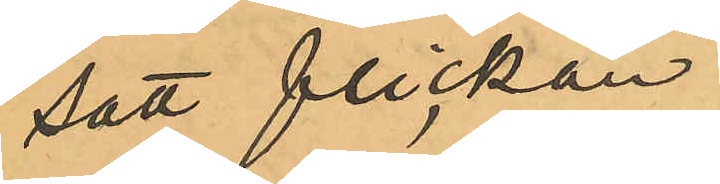satt flickan
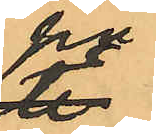på
